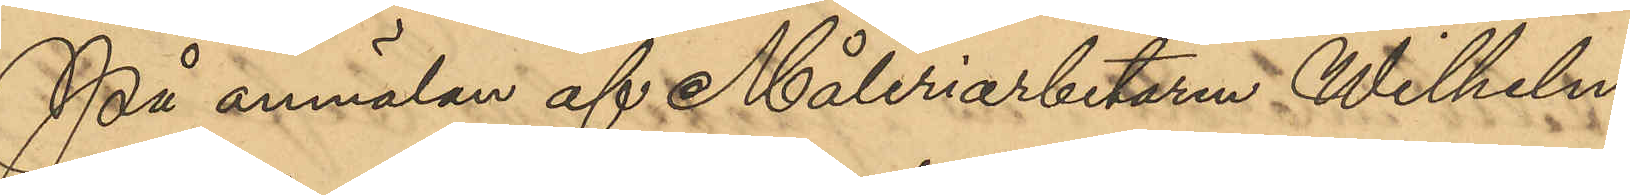På anmälan af Måleriarbetaren Wilhelm
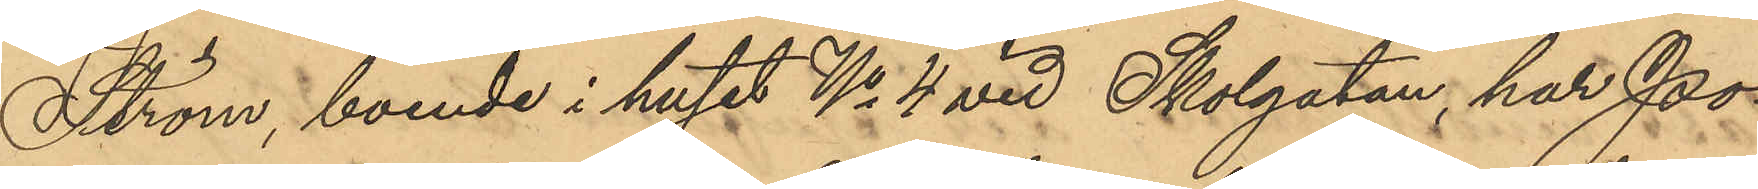Ström, boende i huset No 4 vid Skolgatan, har Po¬
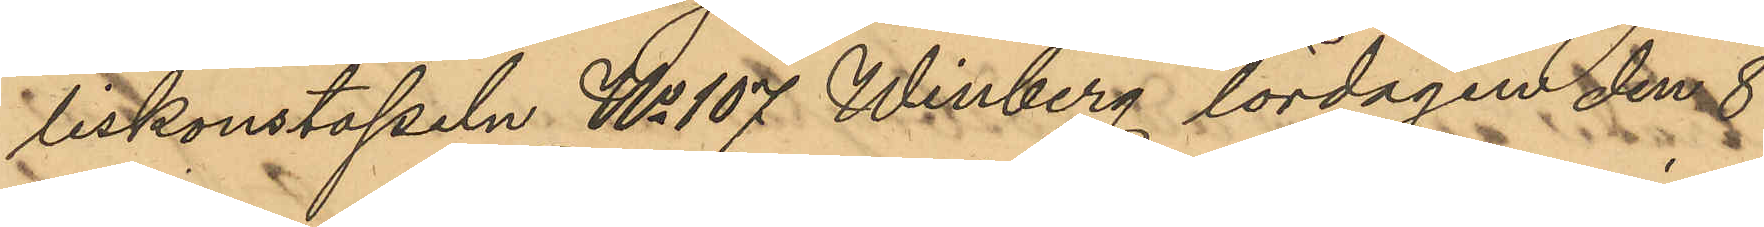liskonstapeln No 107 Winberg lördagen den 8
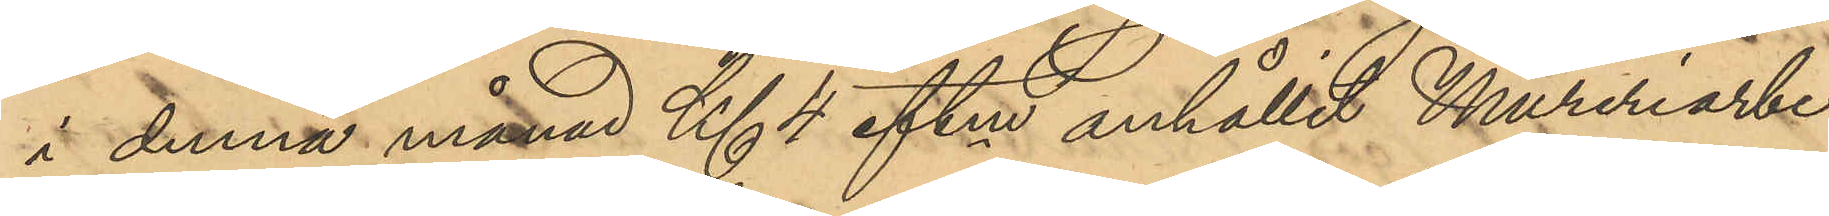i denna månad Kl 4 eftm anhållit Mureriarbe¬
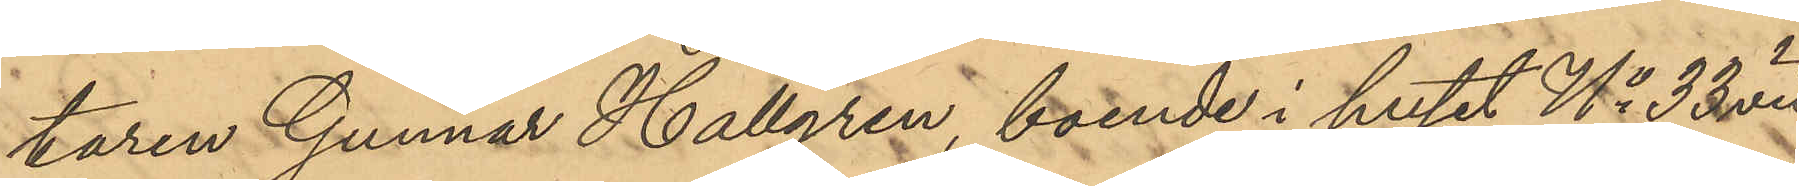taren Gunnar Hallgren, boende i huset No 33 vid
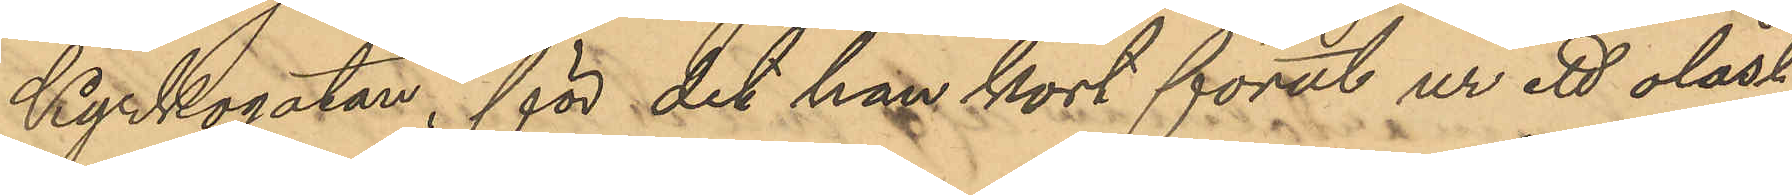Kyrkogatan, för det han kort förut ur ett olåst
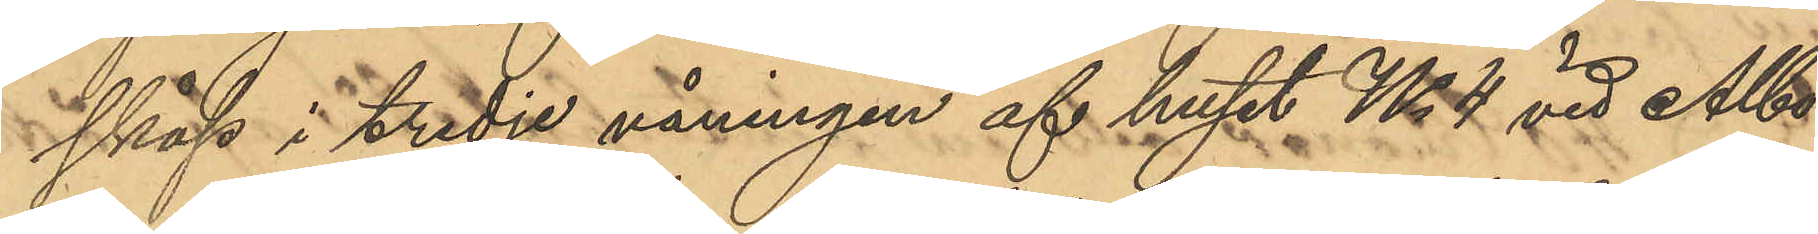skåp i tredje våningen af huset No 4 vid Albo¬
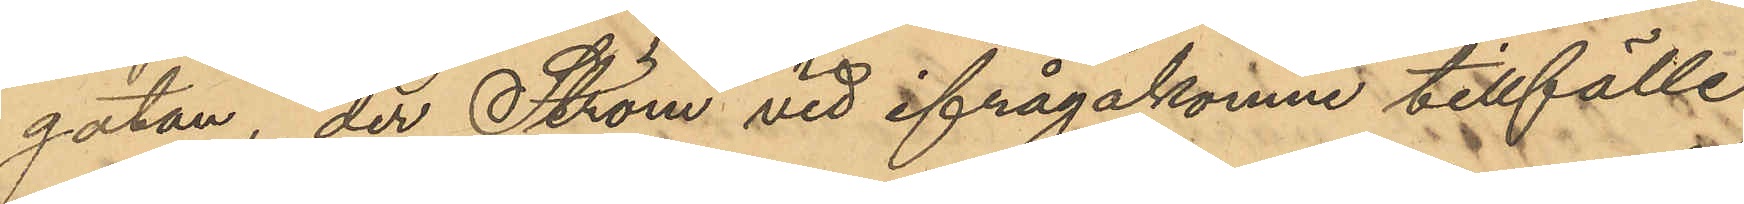gatan, der Ström vid ifrågakomne tillfälle
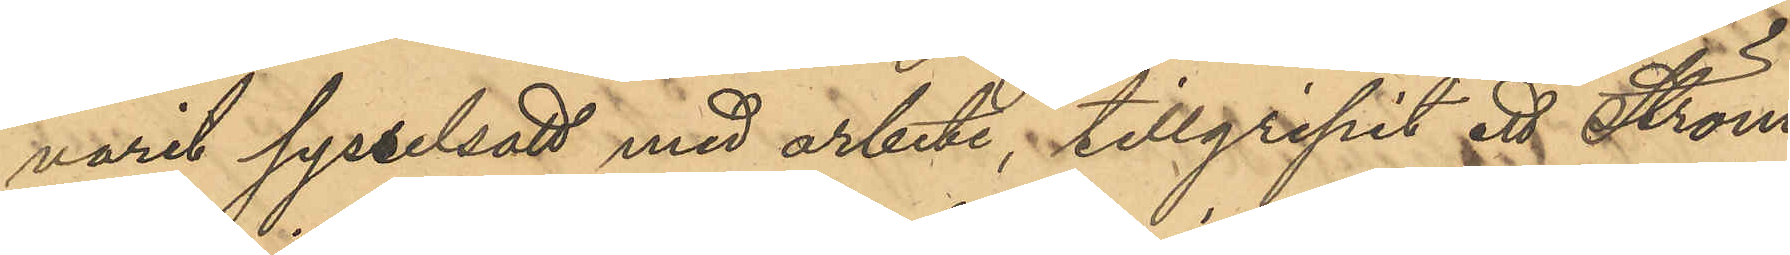varit sysselsatt med arbete, tillgripit ett Ström
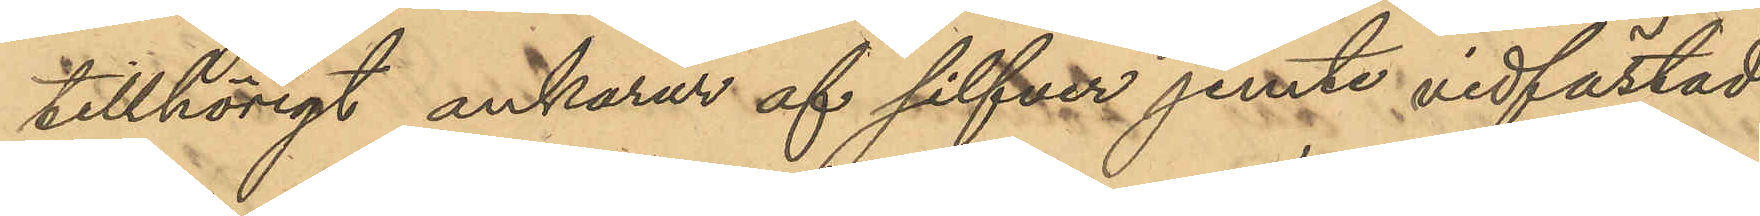tillhörigt ankarur af silfver jemte vidfästad
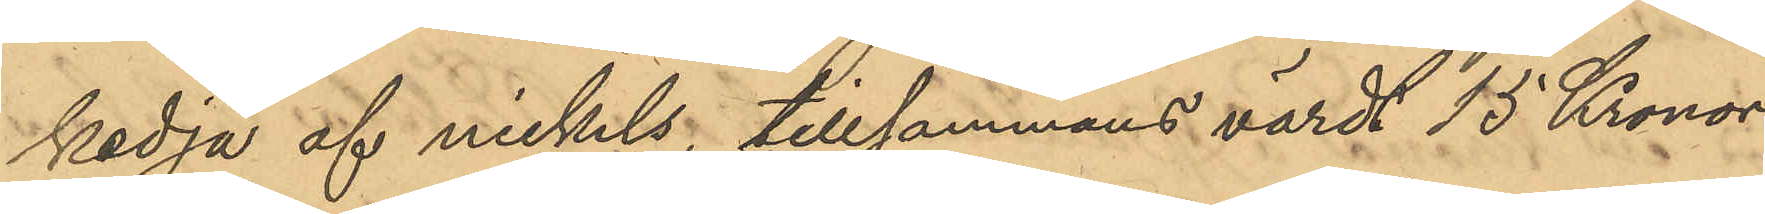kedja af nickels, tillsammans värdt 15 Kronor.
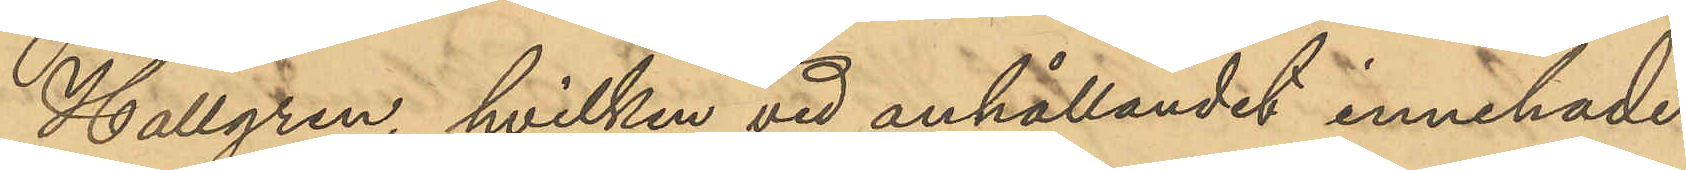Hallgren, hvilken vid anhållandet innehade
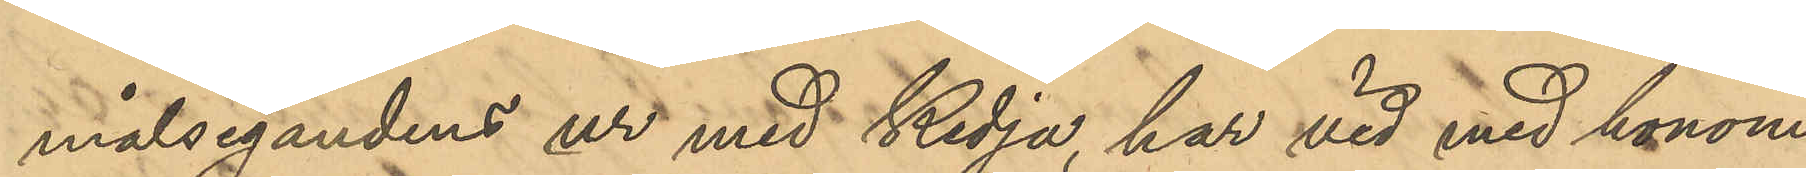målsegandens ur med kedja, har vid med honom
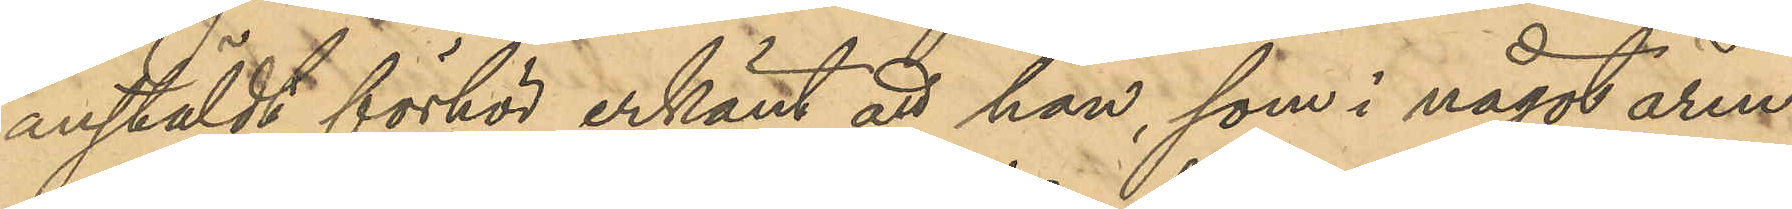anstäldt förhör erkänt att han, som i något ären¬
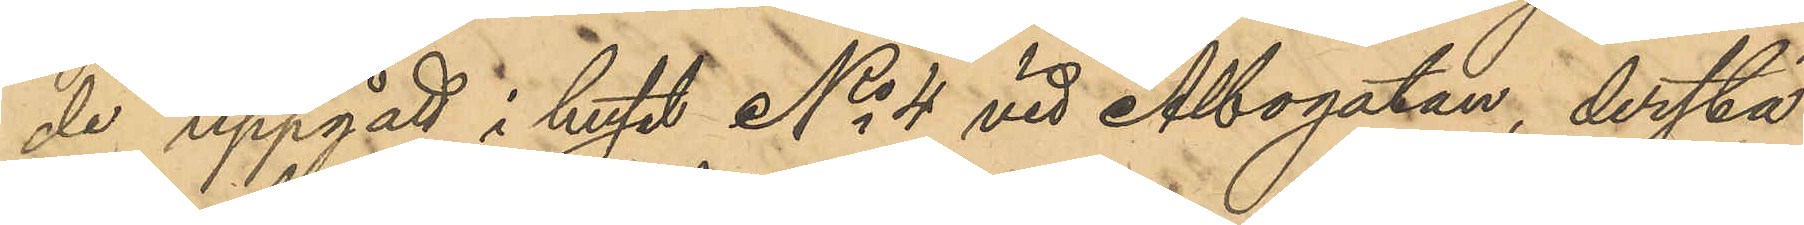de uppgått i huset No 4 vid Albogatan, derstä¬
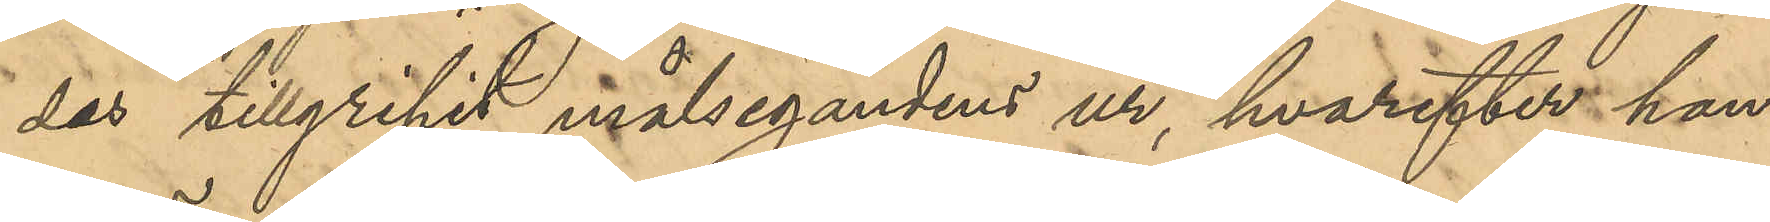des tillgripit målsegandens ur, hvarefter han
